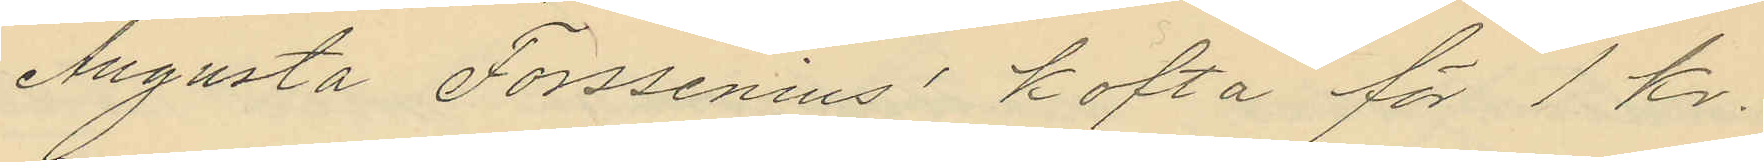Augusta Forssenius´ kofta för 1 kr.
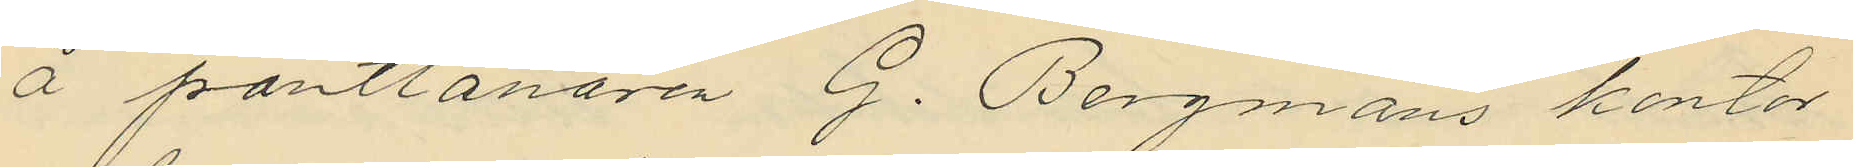å pantlånaren G. Bergmans kontor
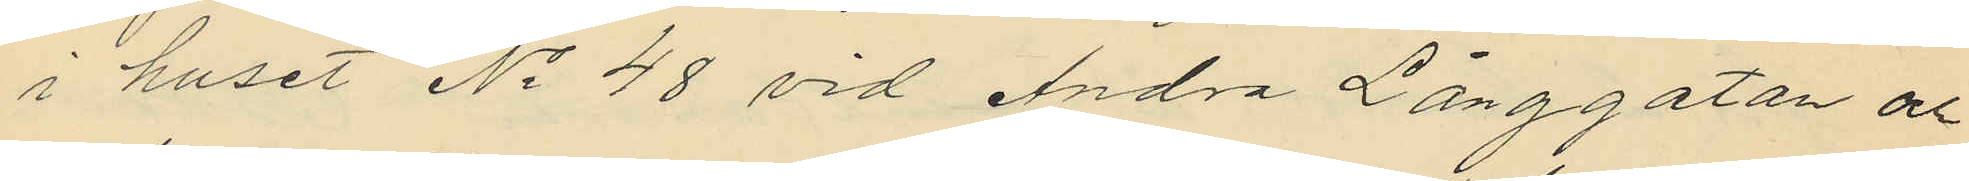i huset No 48 vid Andra Långgatan och
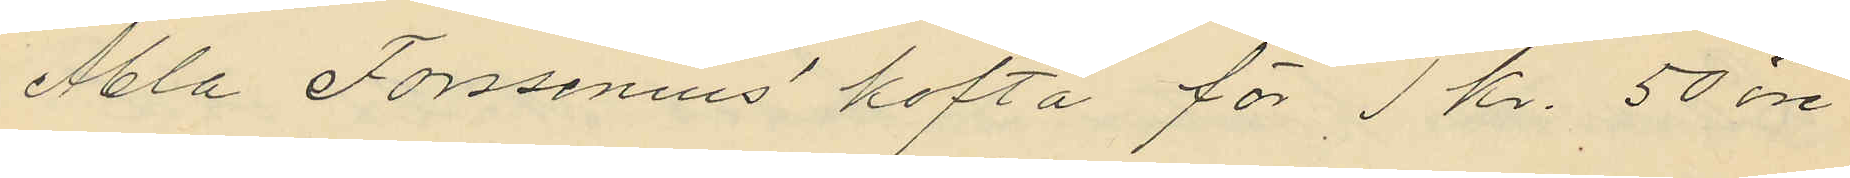Abla Forssenius´ kofta för 1 kr. 50 öre
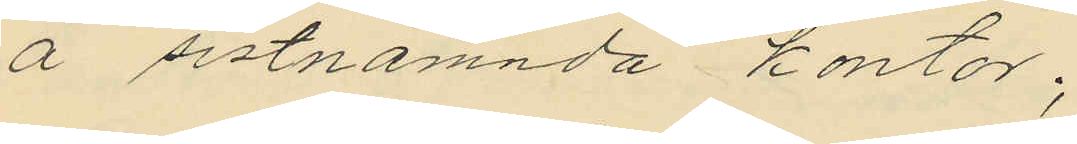å sistnämnda kontor;
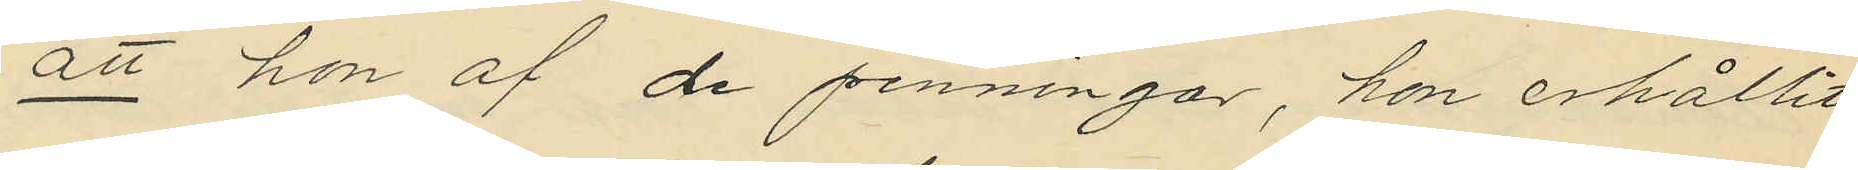att hon af de penningar, hon erhållit
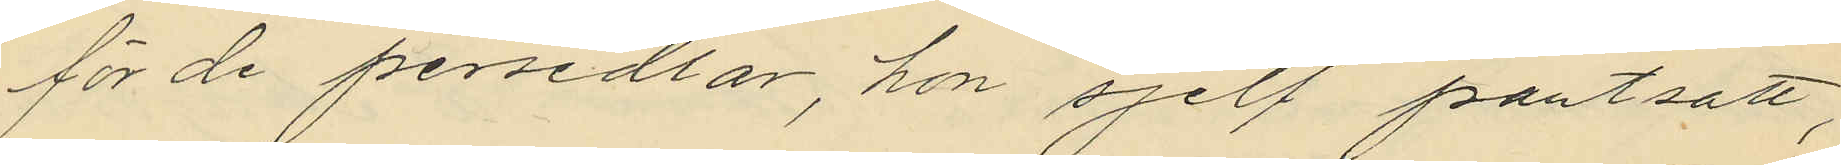för de persedlar, hon sjelf pantsatt,
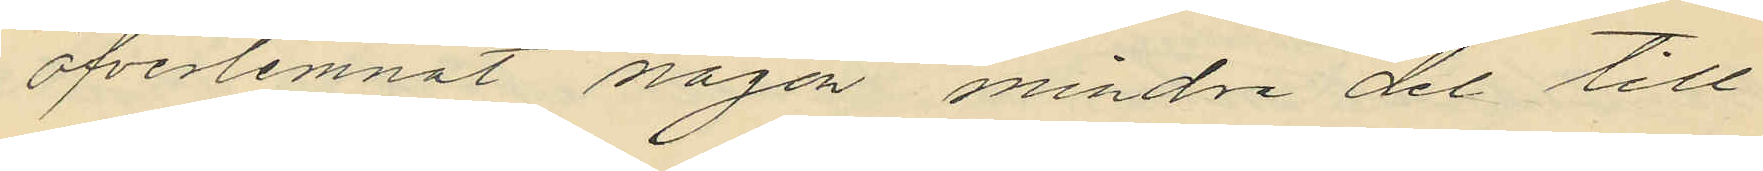öfverlemnat någon mindre del till
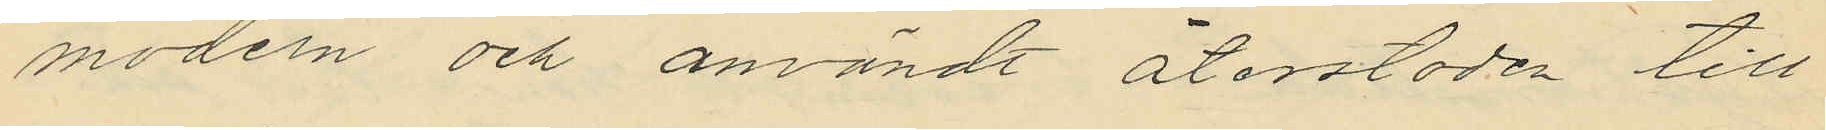modern och användt återstoden till
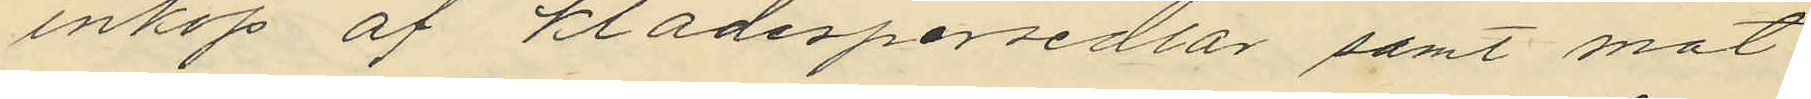inköp af klädespersedlar samt mat
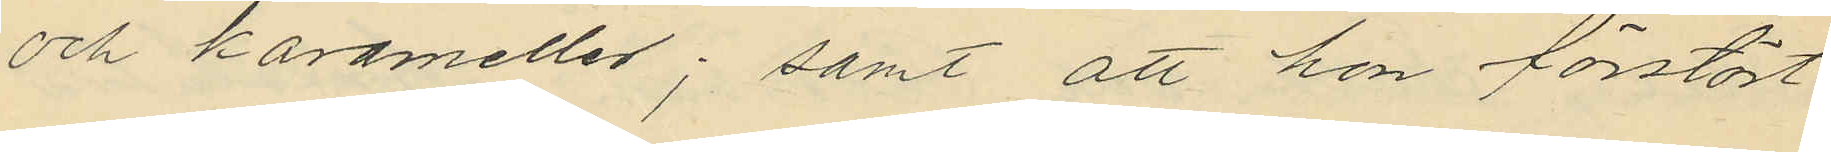och karameller; samt att hon förstört
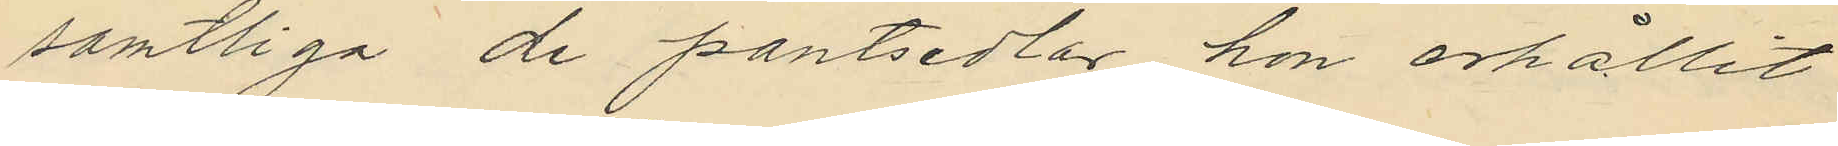samtliga de pantsedlar hon erhållit
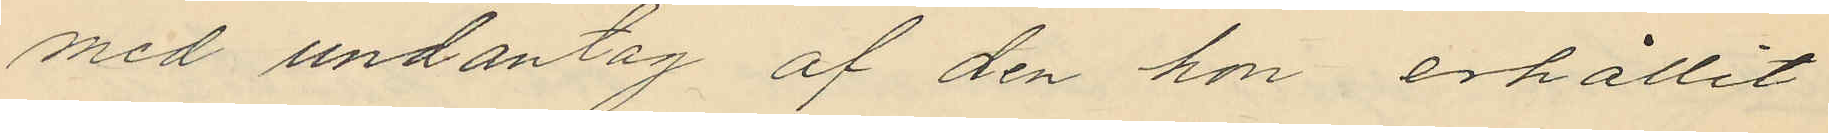med undantag af den hon erhållit
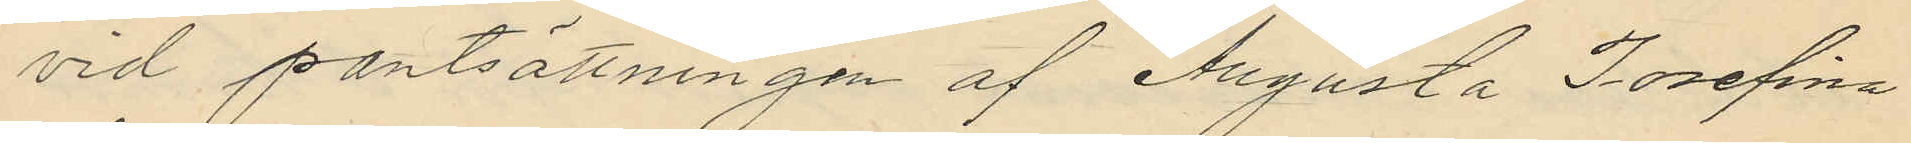vid pantsättningen af Augusta Josefina
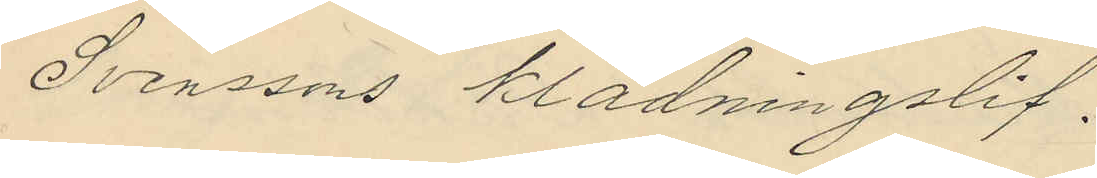Svenssons klädningslif.
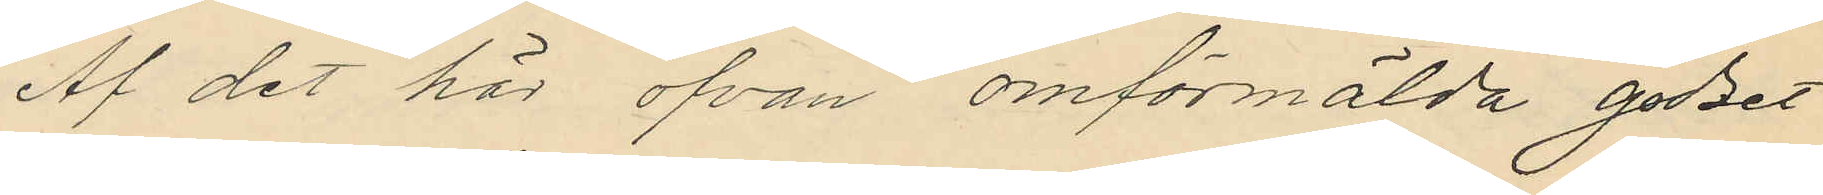Af det här ofvan omförmälda godset
